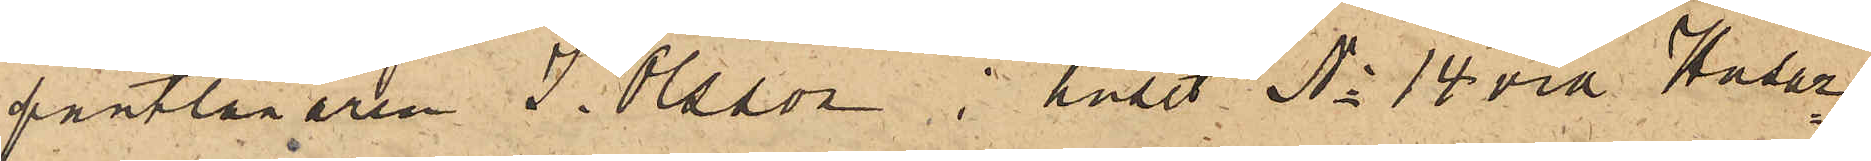pantlånaren J. Olsson i huset No 14 vid Husar¬
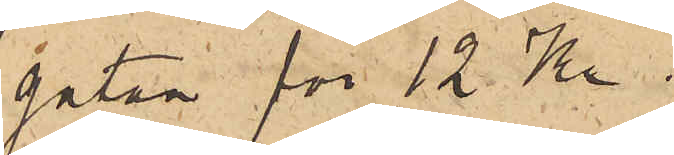gatan för 12 Kr.
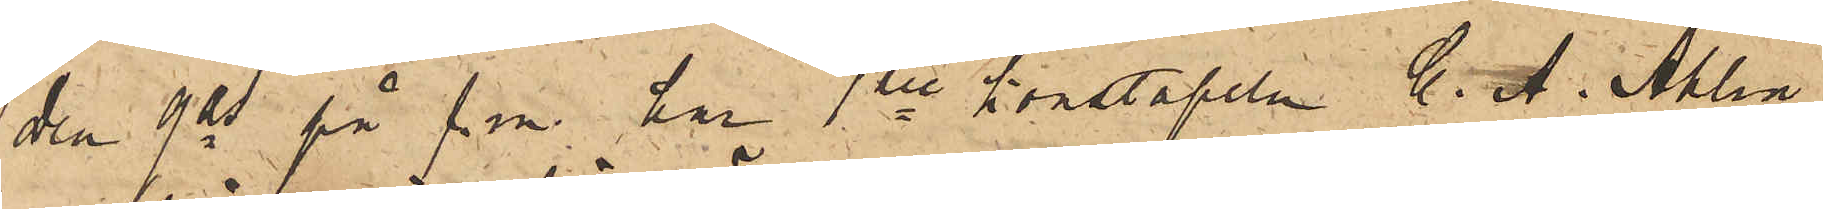Den 9 ds på f. m. har 1ste konstapeln C. A. Ahlin
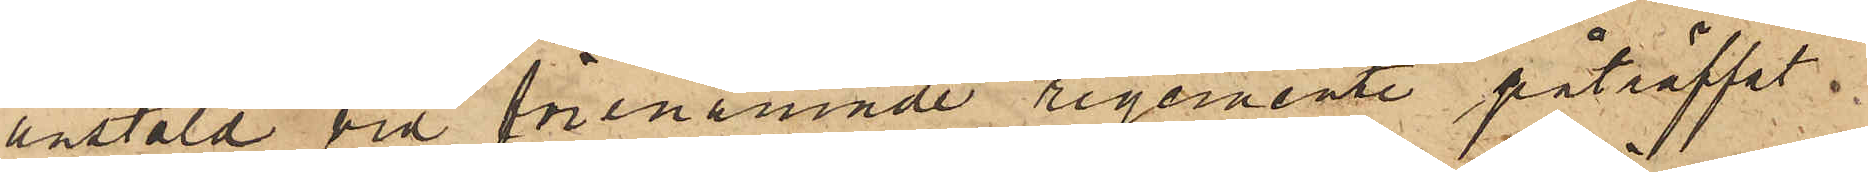anstäld vid förenämnde regemente påträffat
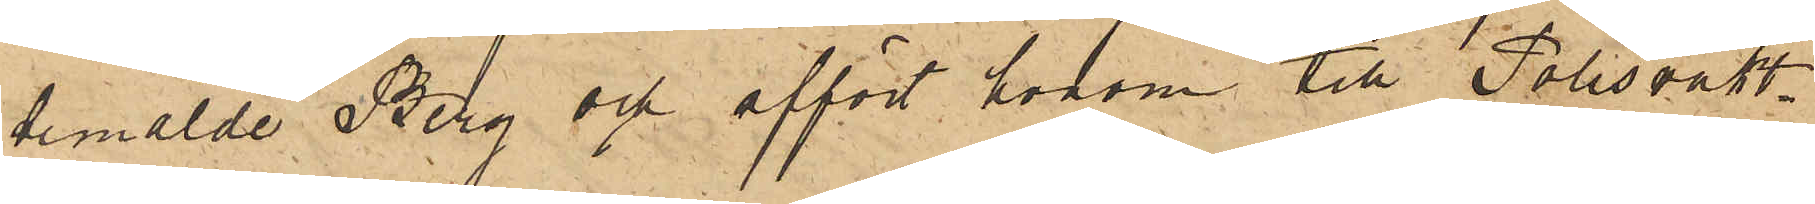bemälde Berg och affört honom till Polisvakt¬
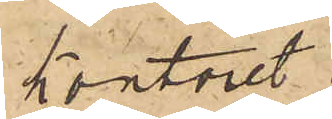kontoret.
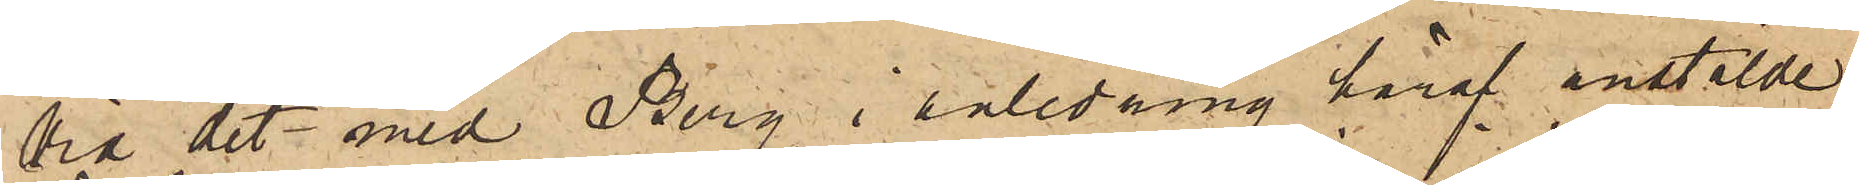Vid det med Berg i anledning häraf anstälde
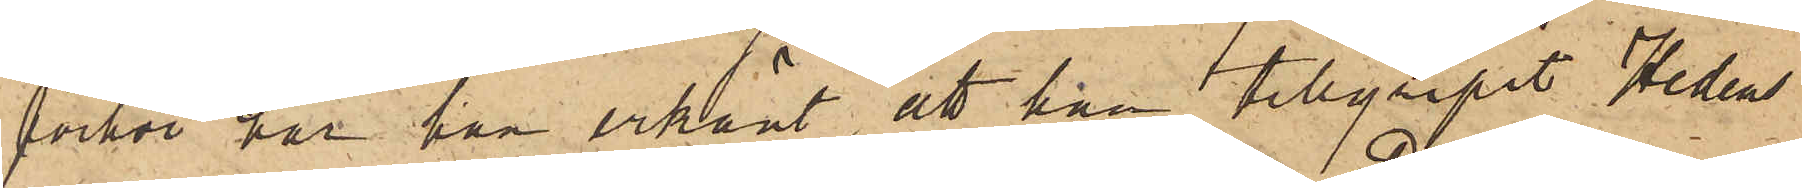förhör har han erkänt, att han tillgripit Hedens
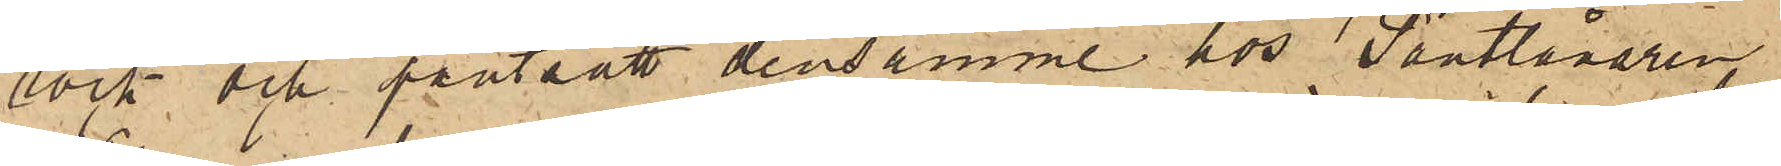rock och pantsatt densamme hos Pantlånaren
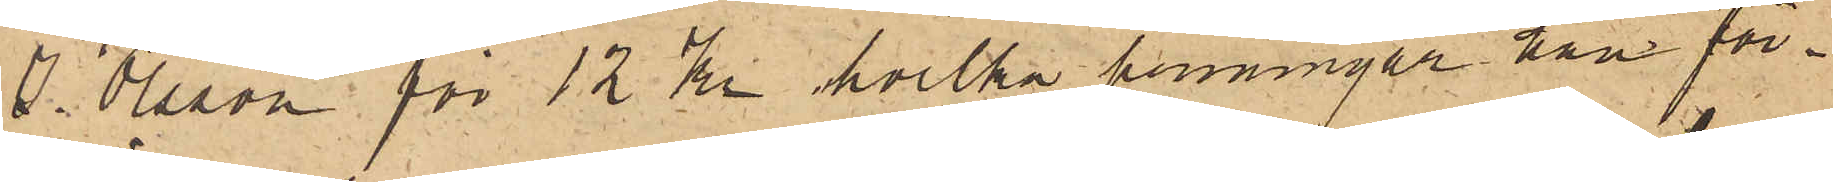J. Olsson för 12 Kr hvilka penningar han för¬
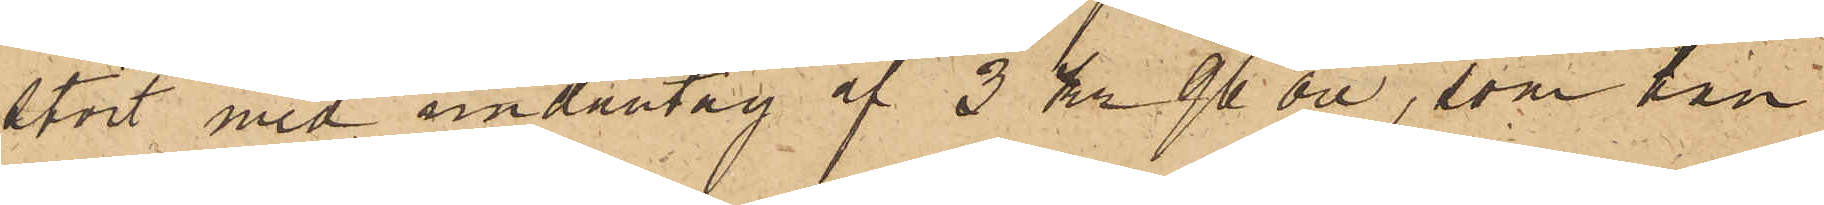stört med undantag af 3 kr 96 öre, som han
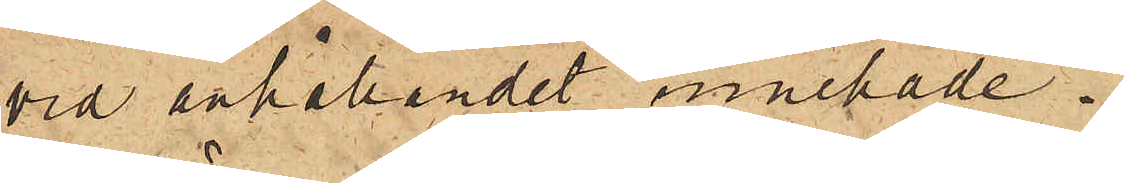vid anhållandet innehade.
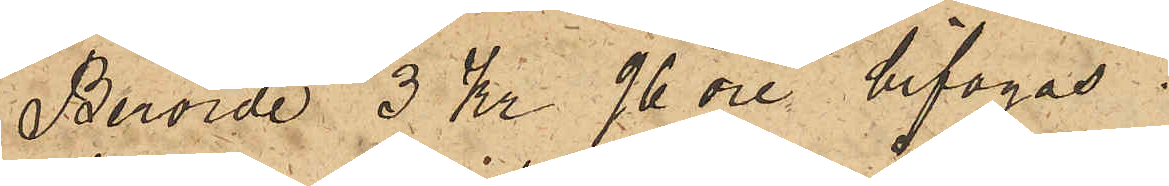Berörde 3 Kr 96 öre bifogas.
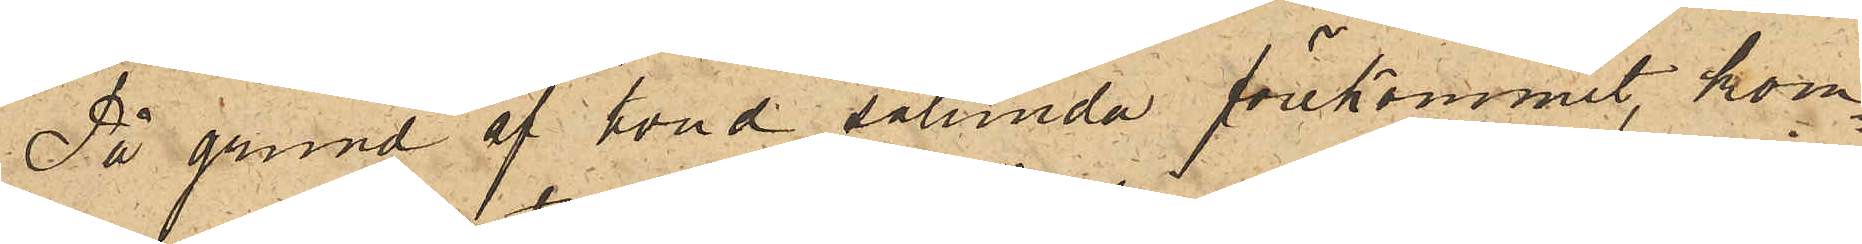På grund af hvad sålunda förekommit, kom¬
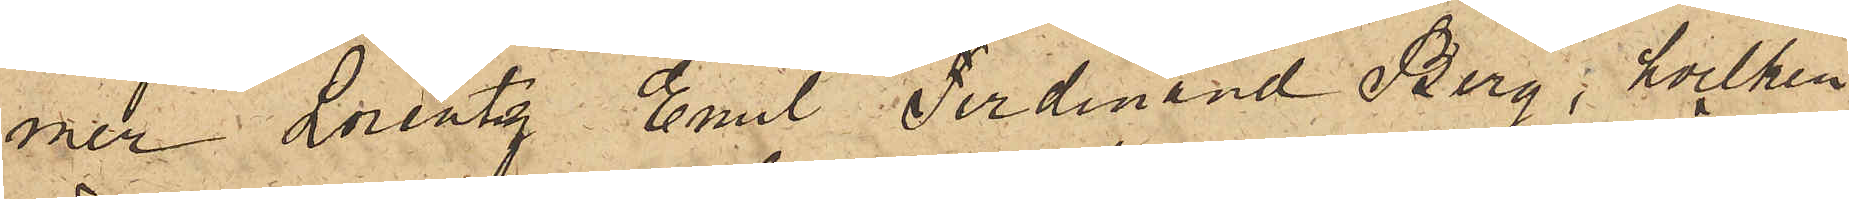mer Lorentz Emil Ferdinand Berg, hvilken
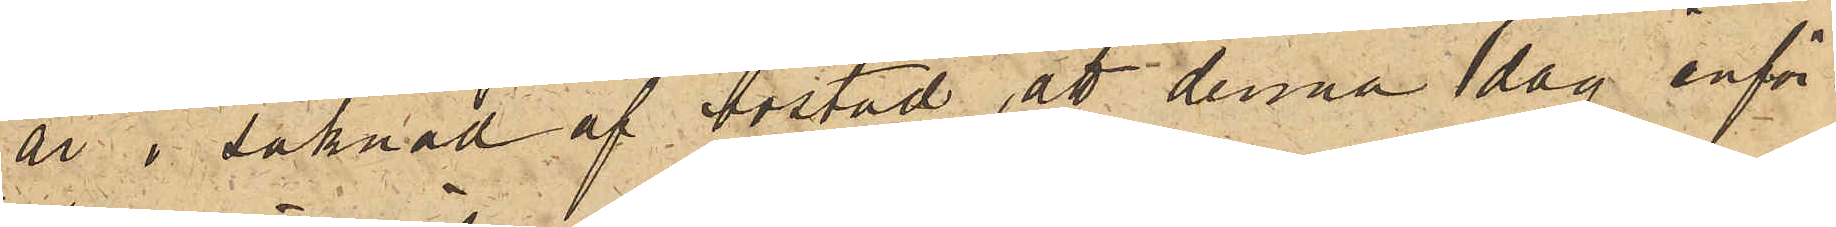är i saknad af bostad, att denna dag inför
